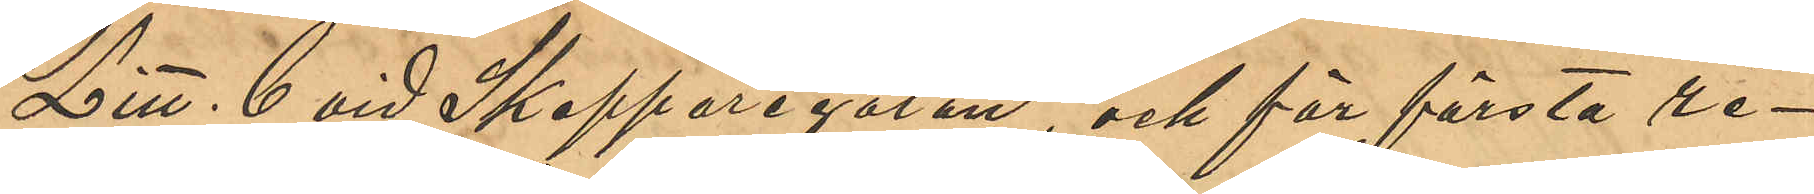Litt. C vid Skepparegatan, och för första re¬
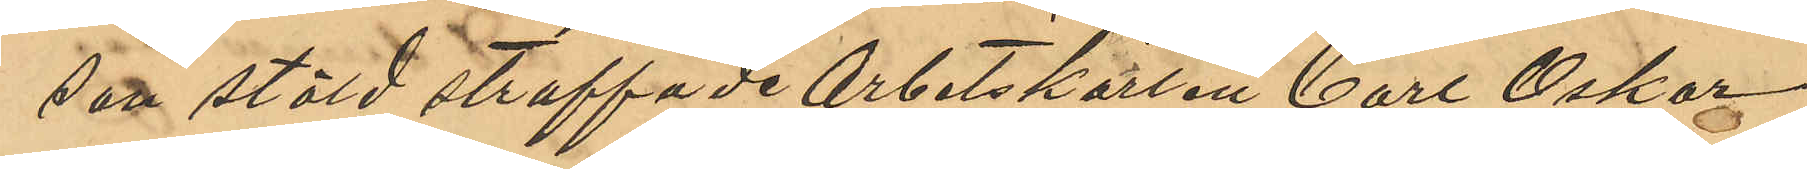san stöld straffade Arbetskarlen Carl Oskar
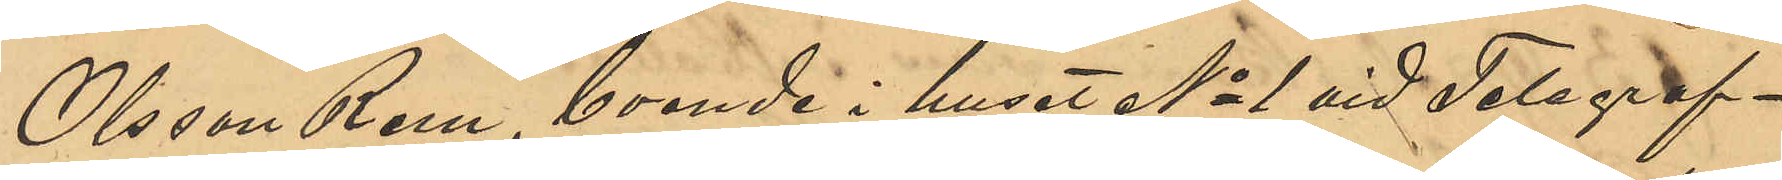Olsson Rem, boende i huset No 1 vid Telegraf¬
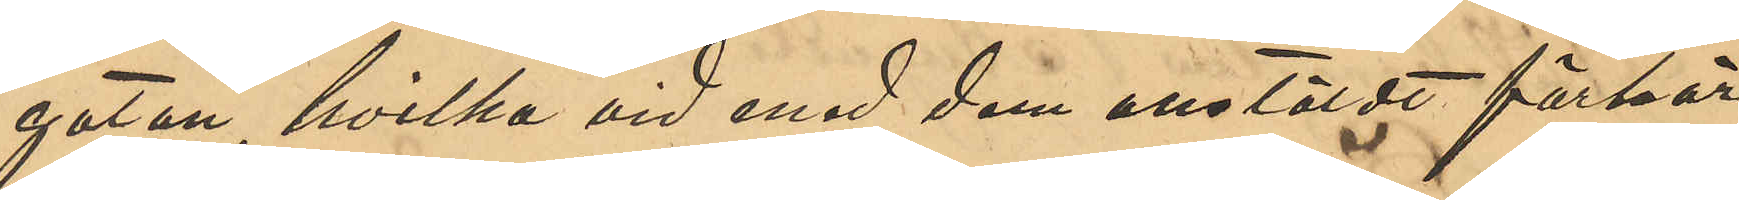gatan, hvilka vid med dem anstäldt förhör
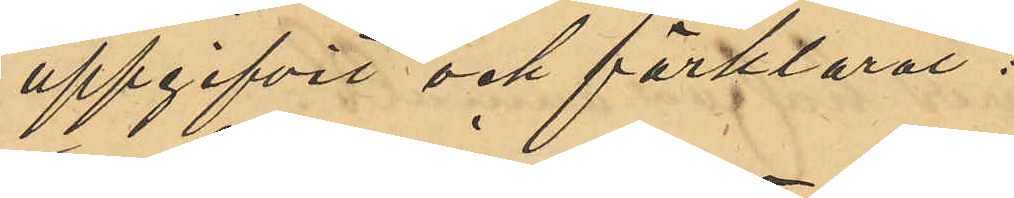uppgifvit och förklarat:
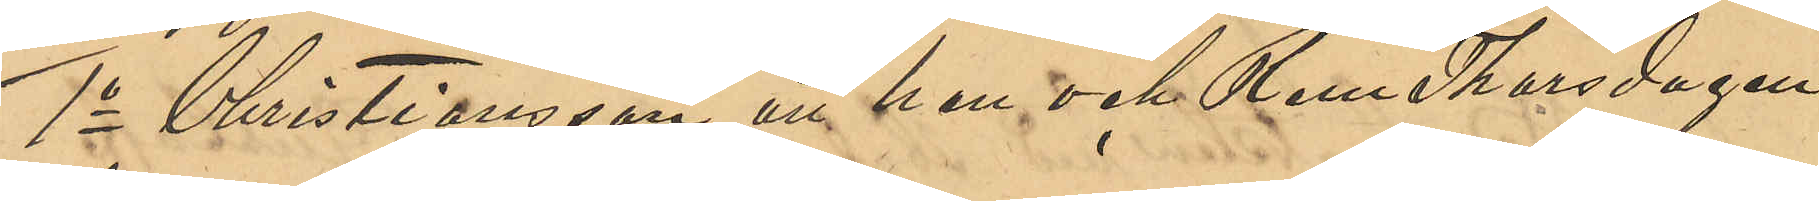1o Christiansson att han och Rem Thorsdagen
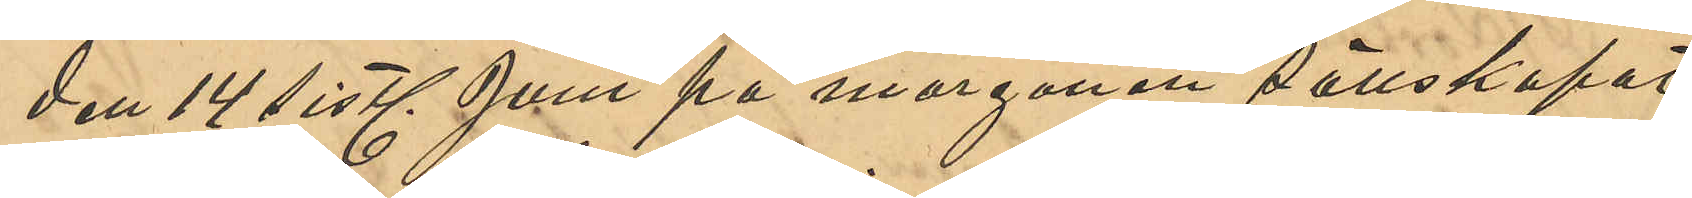den 14 sist. Juni på morgonen sällskapat
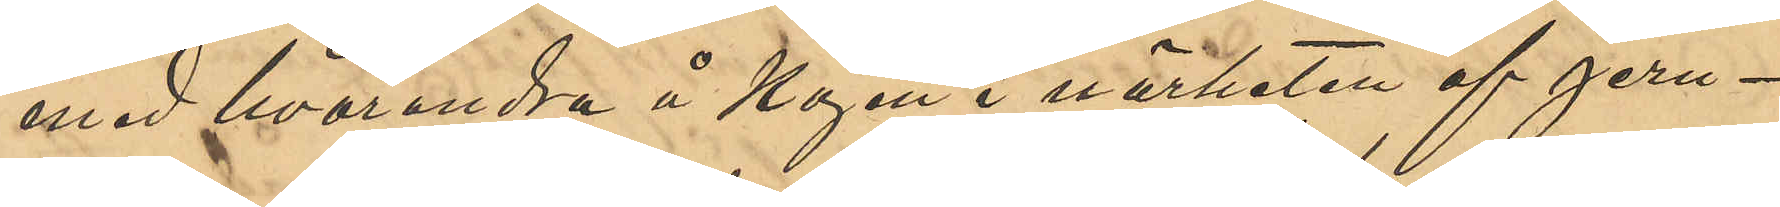med hvarandra å Kajen i närheten af jern¬
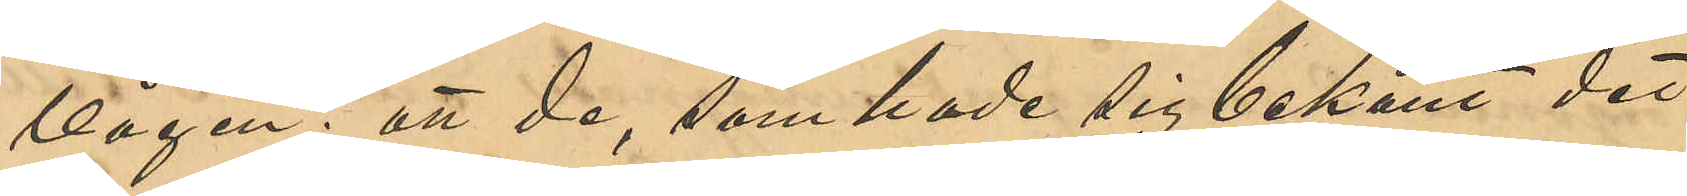vågen; att de, som hade sig bekant det
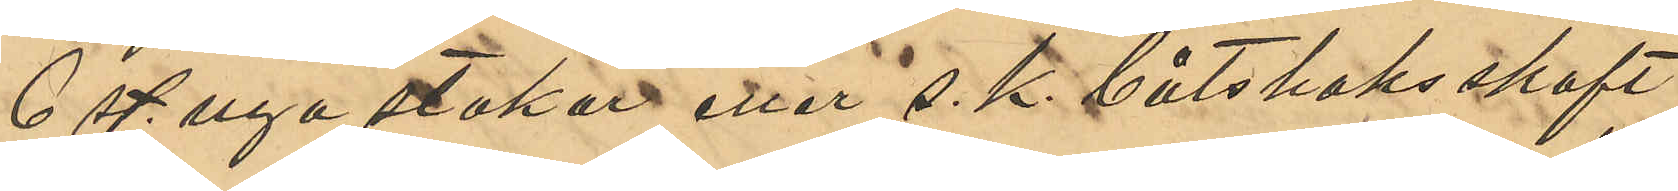6 st. nya stakar eller s. k. båtshaksskaft
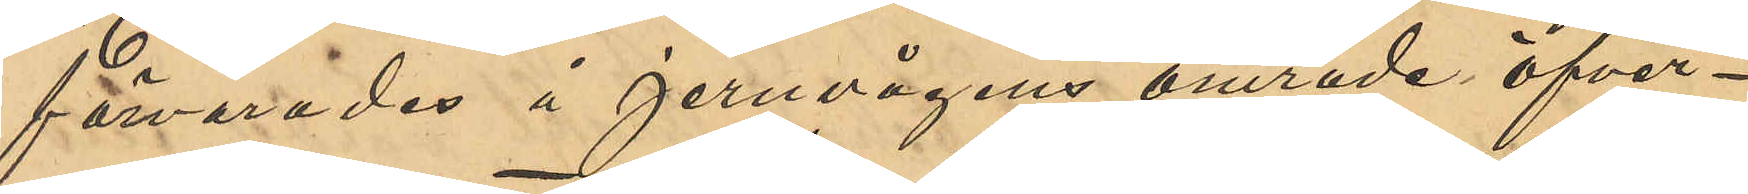förvarades å jernvågens område öfver¬
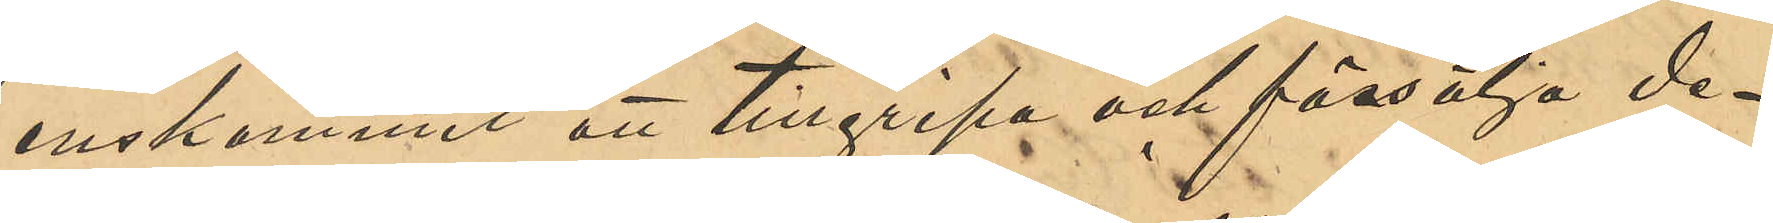enskommit att tillgripa och försälja de¬
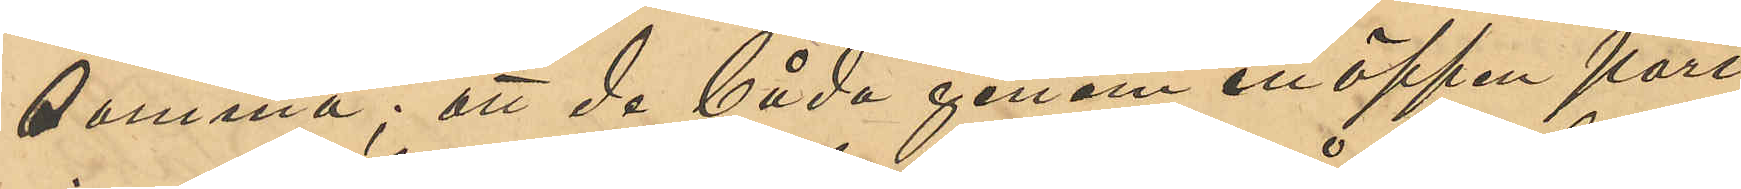samma; att de båda genom en öppen port
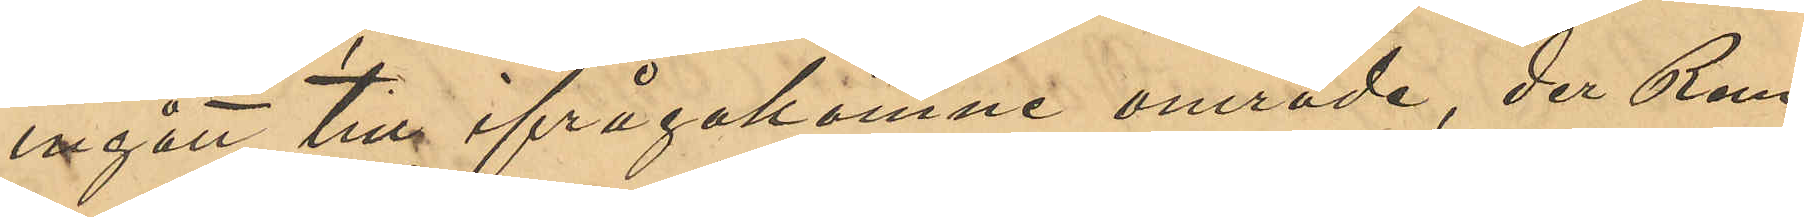ingått till ifrågakomne område, der Rem
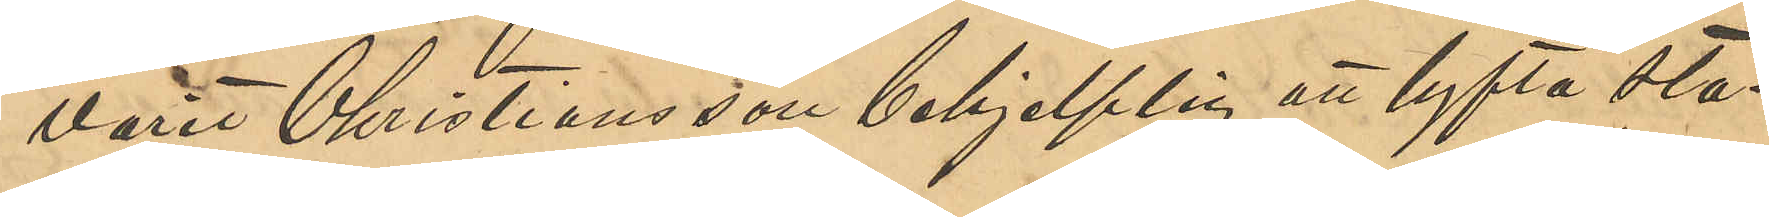varit Christiansson behjelplig att lyfta sta¬
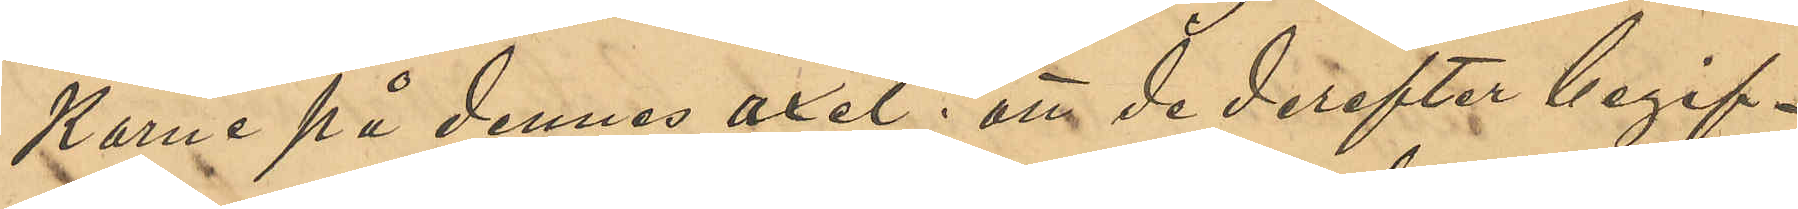karne på dennes axel; att de derefter begif¬
